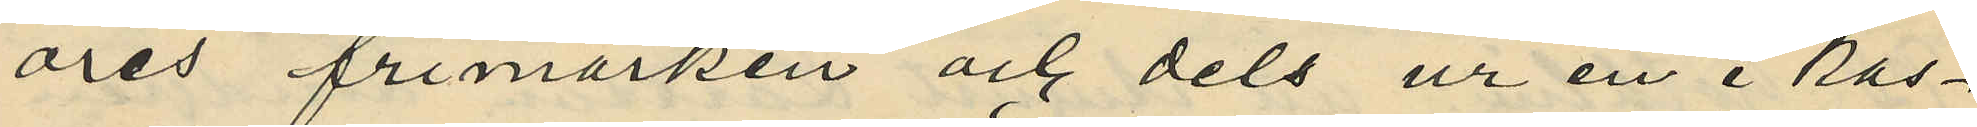öres frimärken och dels ur en i kas¬
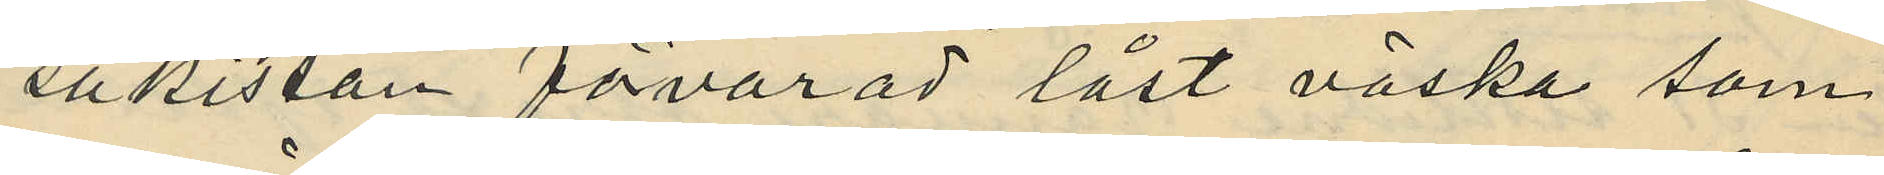sakistan fövarad låst väska som
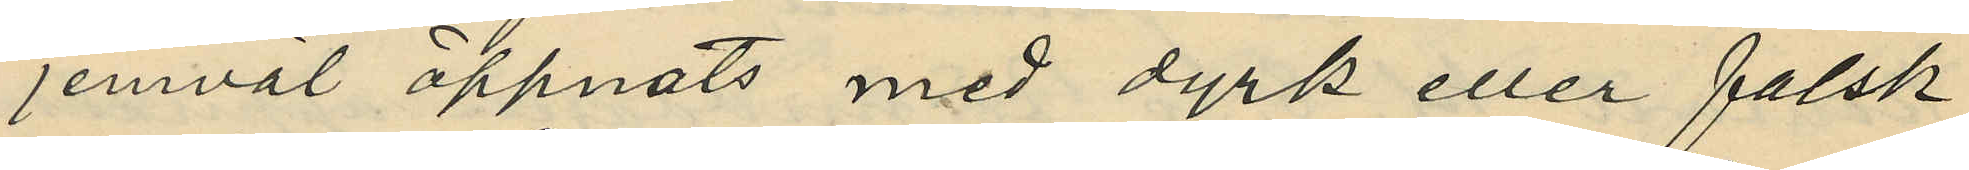jemväl öppnats med dyrk eller falsk
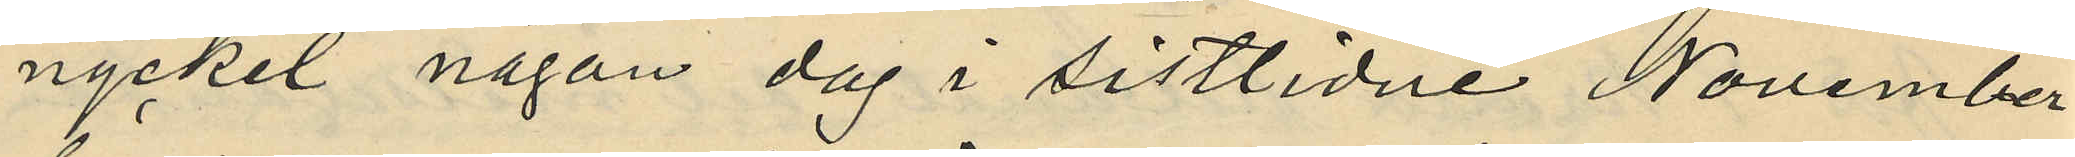nyckel någon dag i sistlidne November
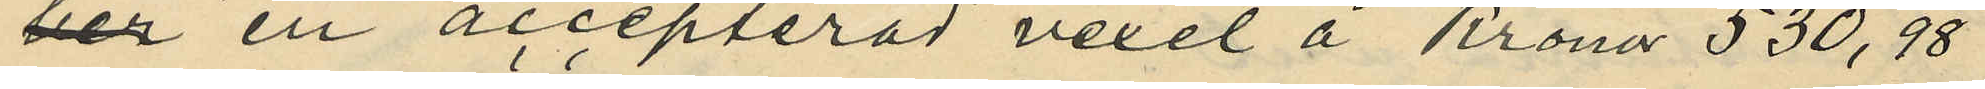har en accepterad vexel å Kronor 530,98
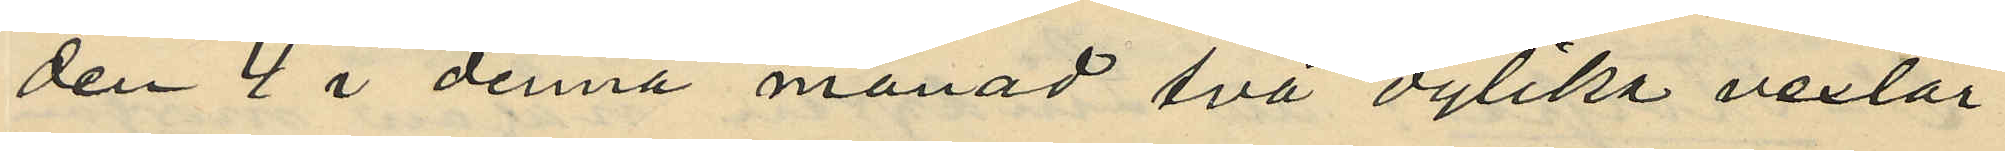den 4 i denna månad två dylika vexlar
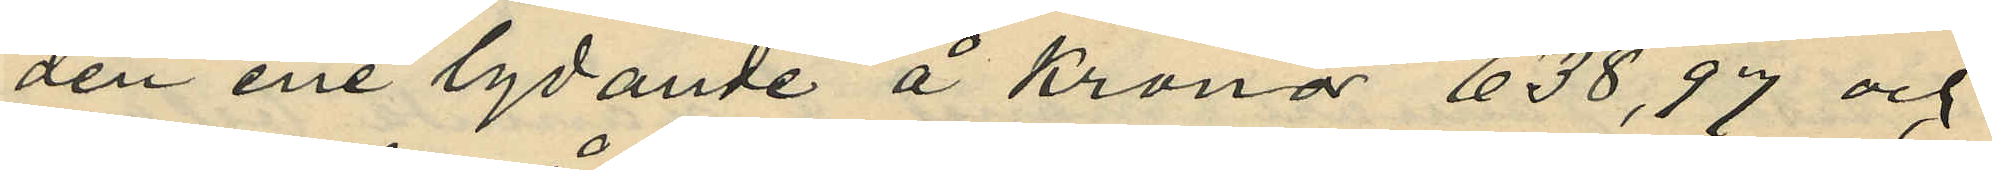den ene lydande å Kronor 638,97 och
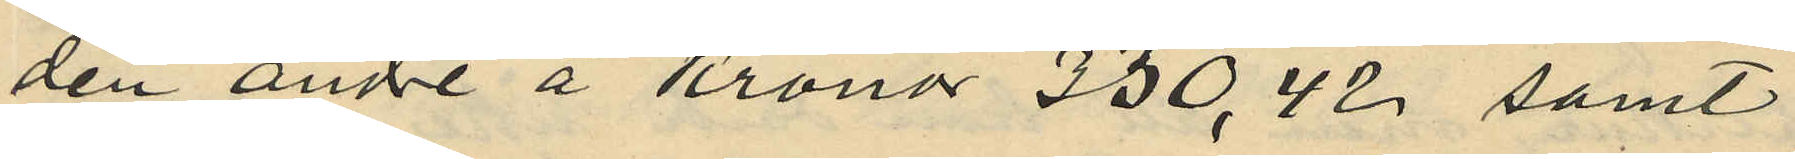den andre å Kronor 230,42 samt
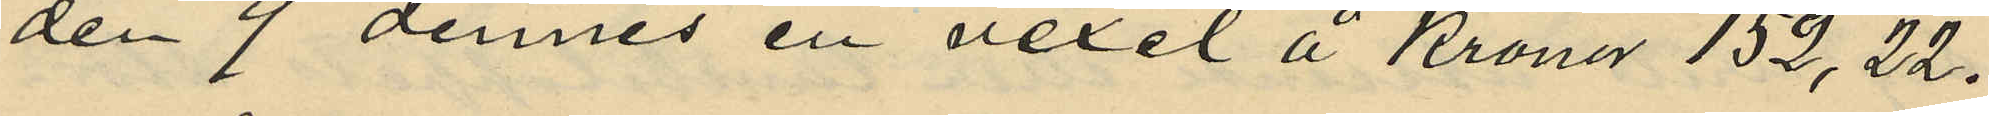den 9 dennes en vexel å Kronor 152,22.
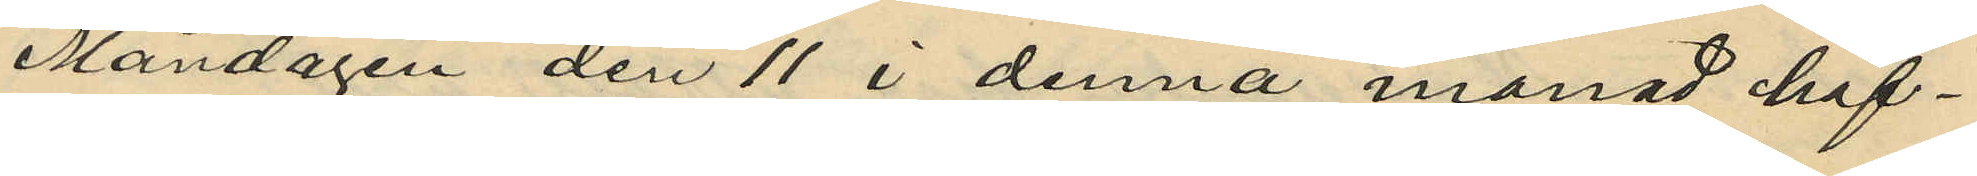Måndagen den 11 i denna månad haf¬
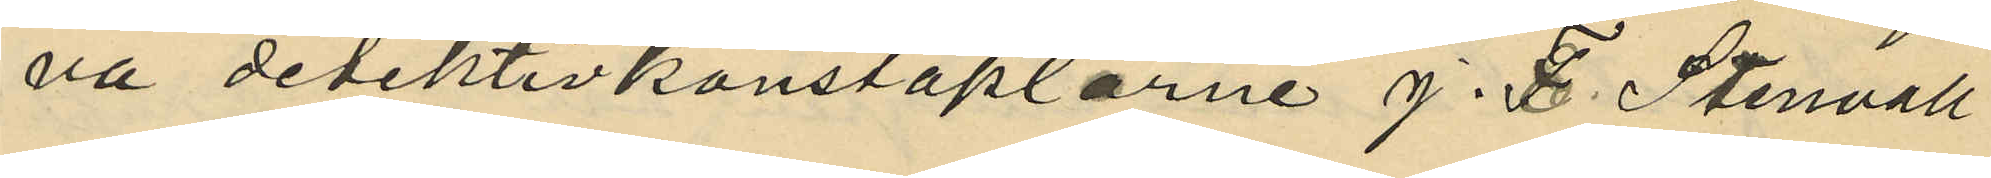va detektivkonstaplarne J. F. Stenvall
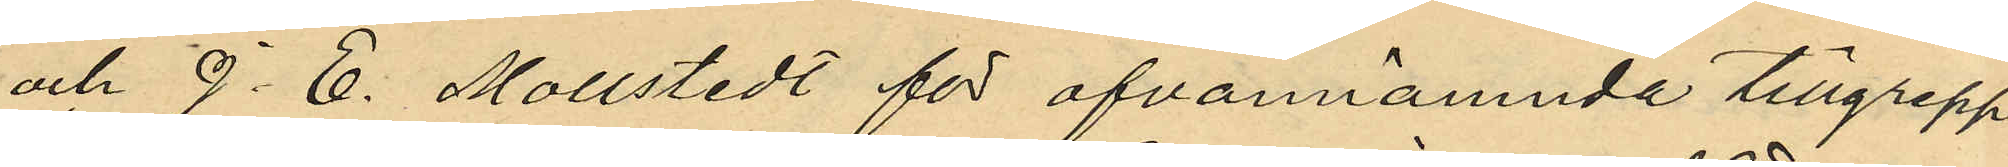och J. E. Mollstedt för ofvannämnda tillgrepp
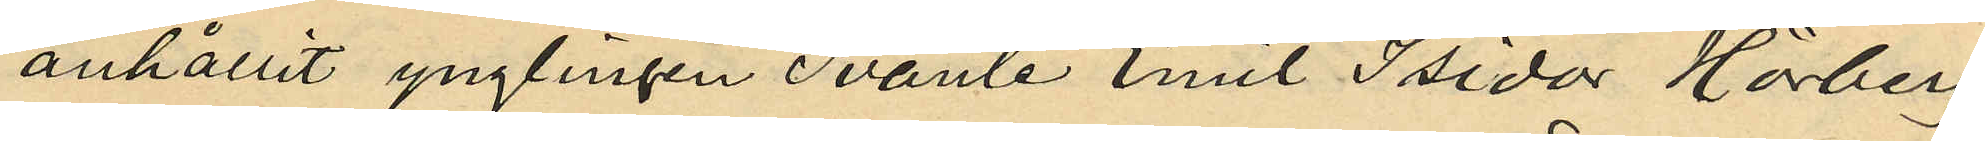anhållit ynglingen Svante Emil Isidor Hörberg
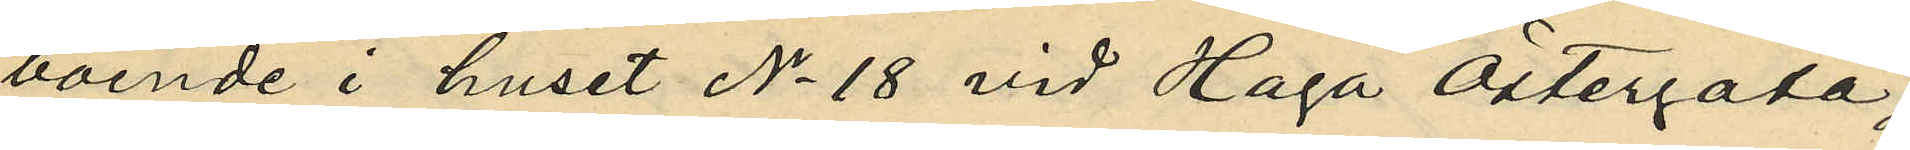boende i huset No 18 vid Haga Östergata,
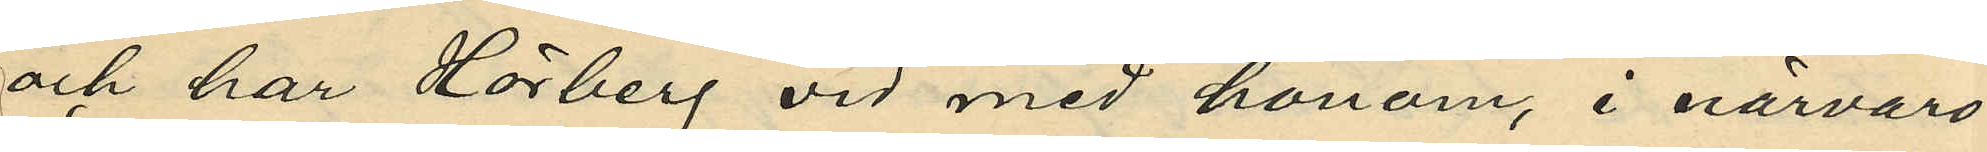och har Hörberg vid med honom, i närvaro
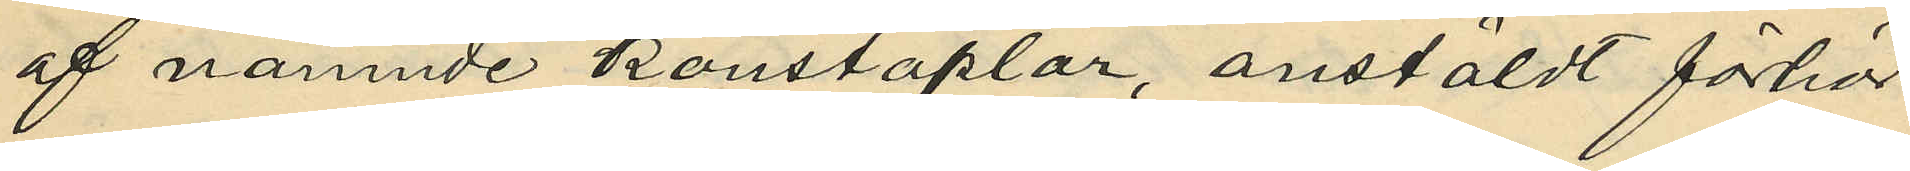af nämnde konstaplar, anstäldt förhör
